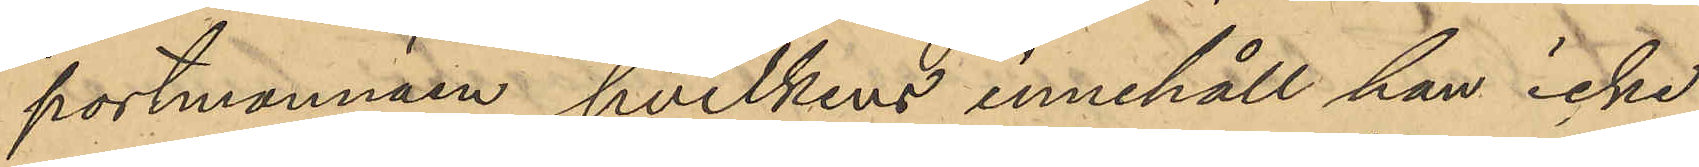portmonnäen hvilken innehåll han icke
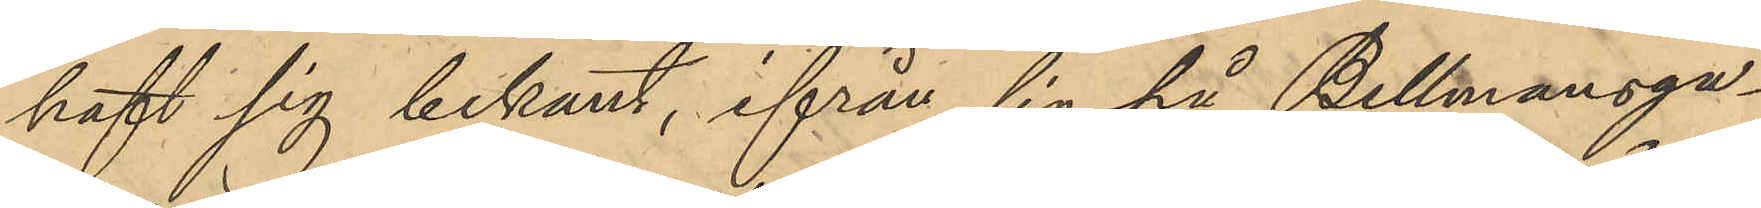haft sig bekant, ifrån sig på Bellmansga¬
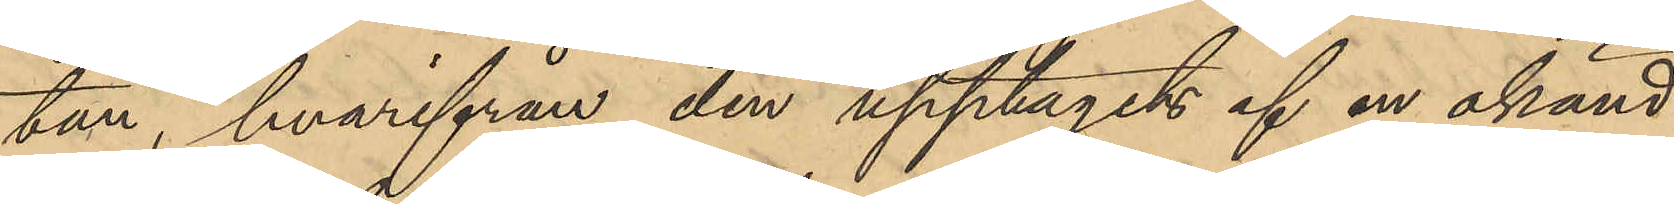tan, hvarifrån den upptagits af en okänd
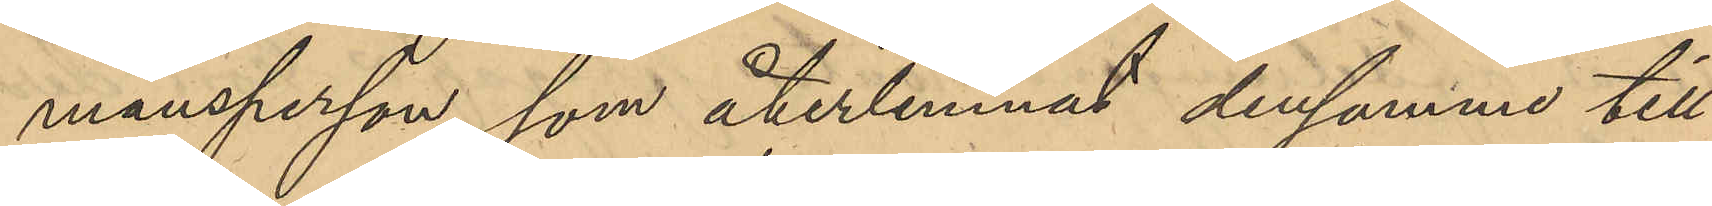mansperson, som återlemnat densamme till
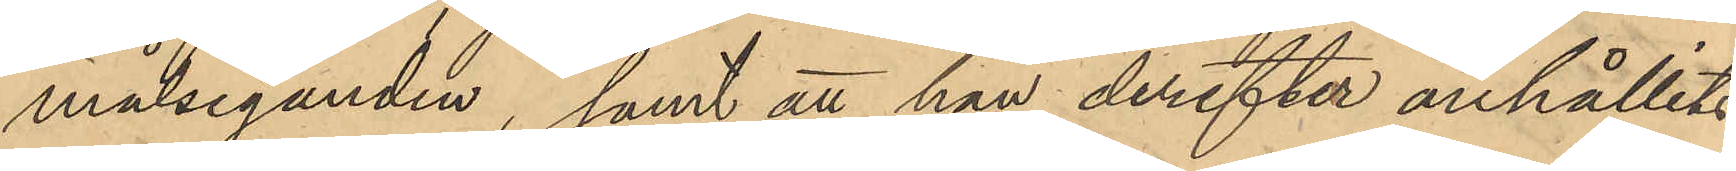målseganden; samt att han derefter anhållits
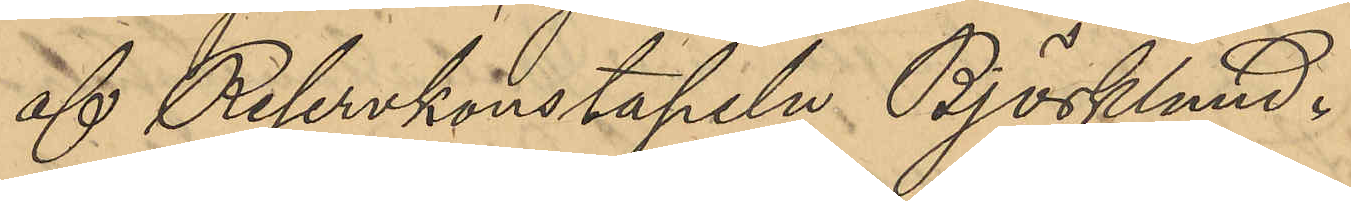af Reservkonstapeln Björklund.
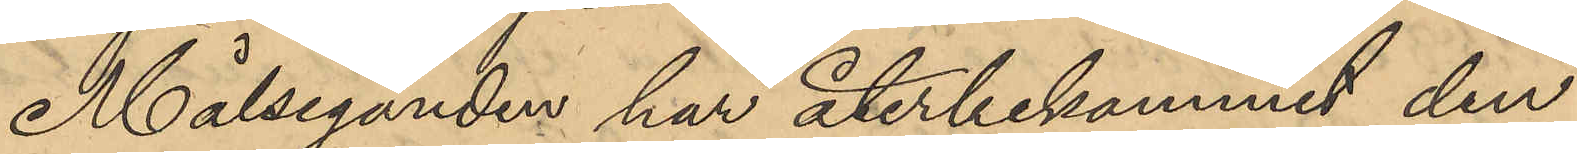Målseganden har återbekommit den
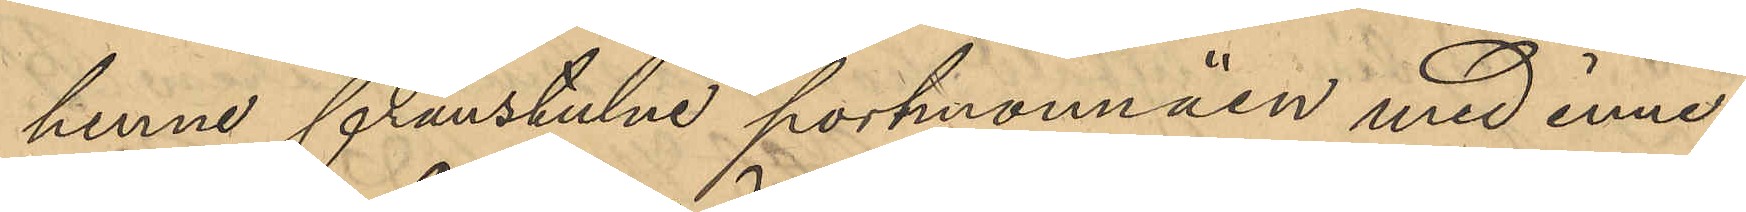henne frånstulne portmonnäen med inne¬
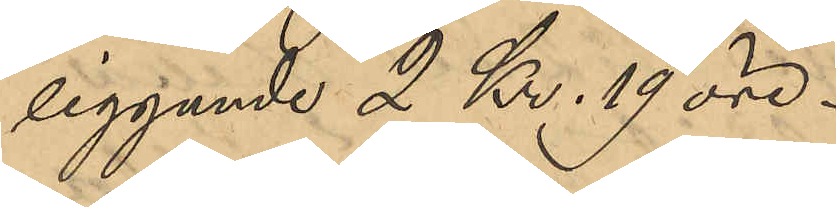liggande 2 Kr. 19 öre.
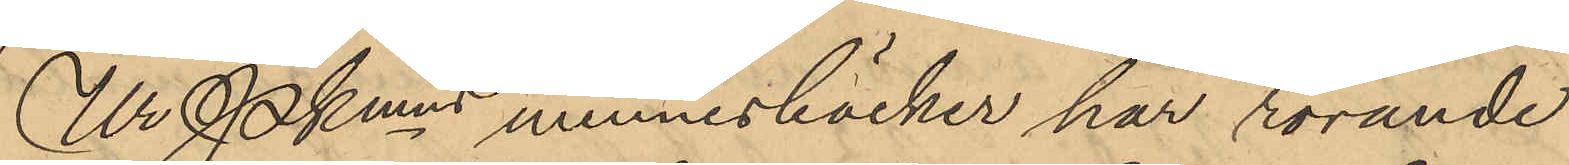Ur Pkmns minnesböcker har rörande
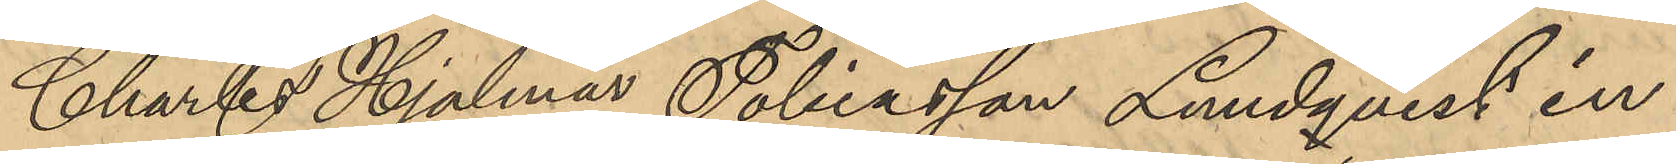Charles Hjalmar Tobiasson Lundqvist in¬
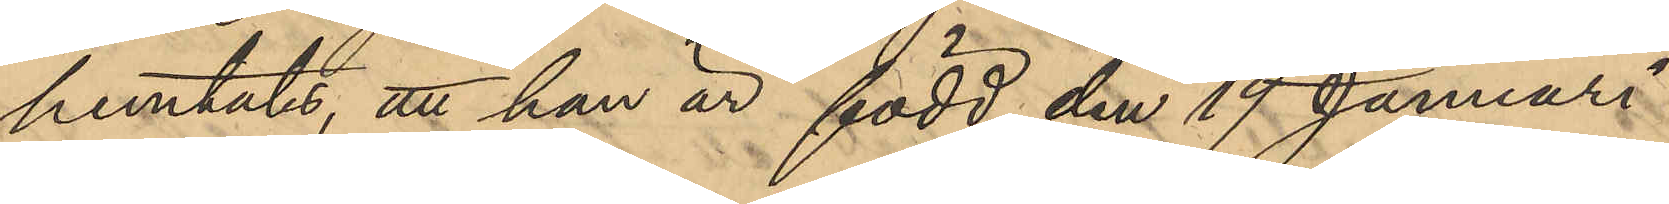hemtats, att han är född den 19 Januari
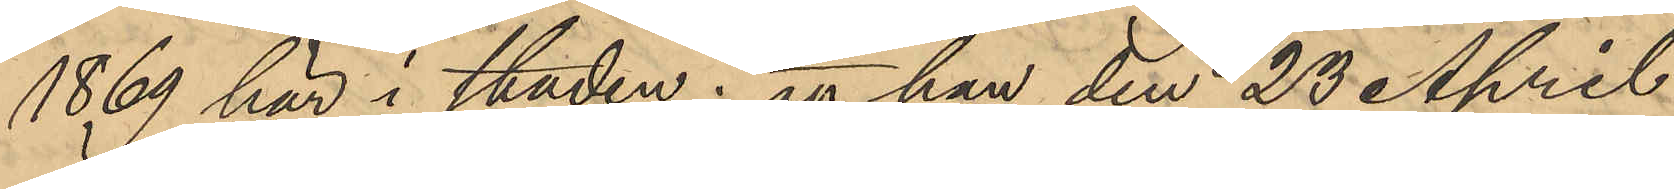1869 här i staden; att han den 23 April
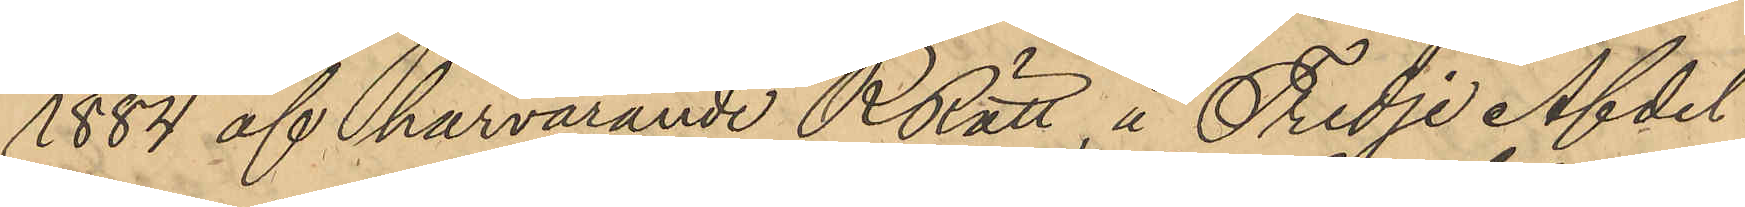1884 af härvarande RRätt, å Tredje Afdel-
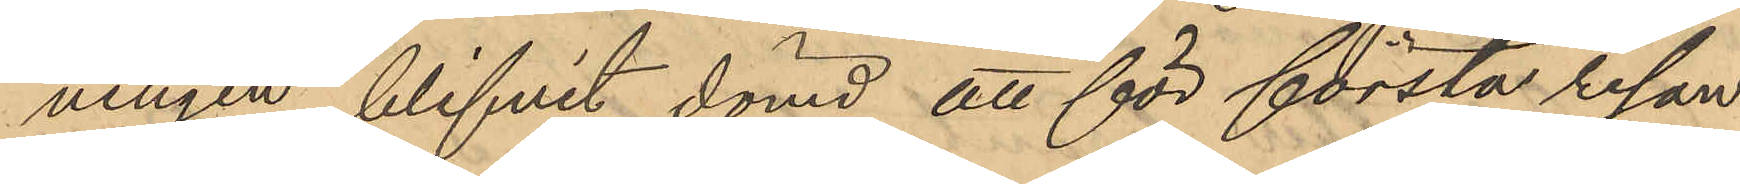ningen, blifvit dömd att för första resan
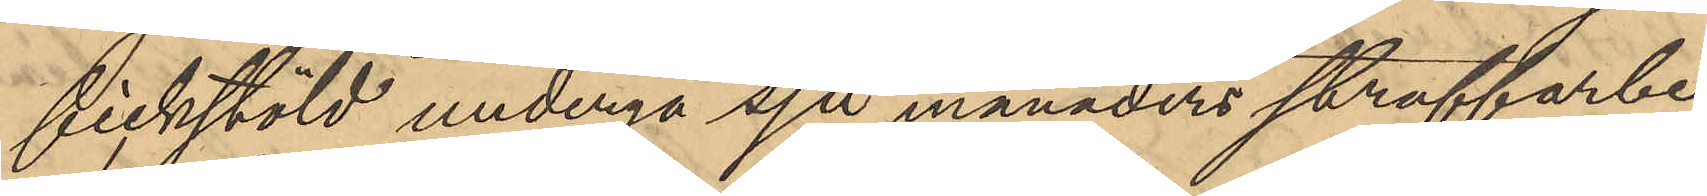fickstöld undergå sju månaders straffarbe-
